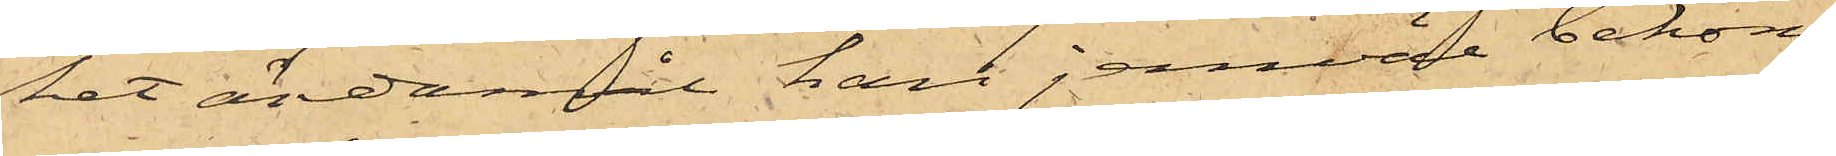ket ändamål han jemvel bekom¬
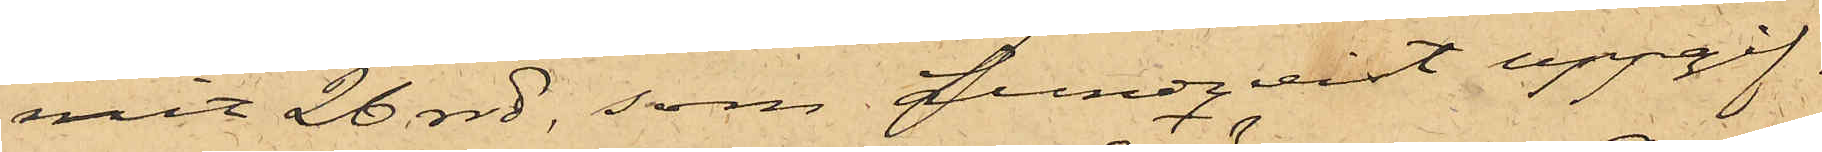mit 26 rdr, som Lundqvist uppgif¬
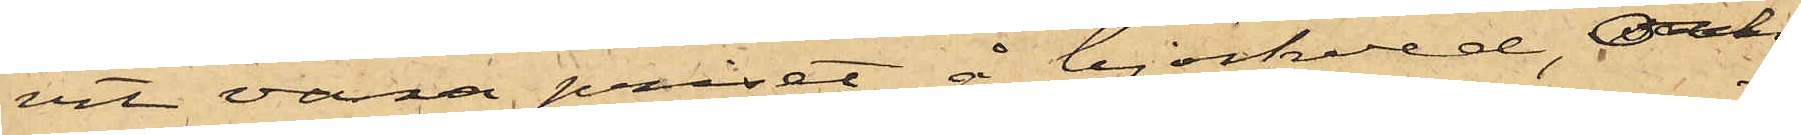vit vara priset å björkved, och
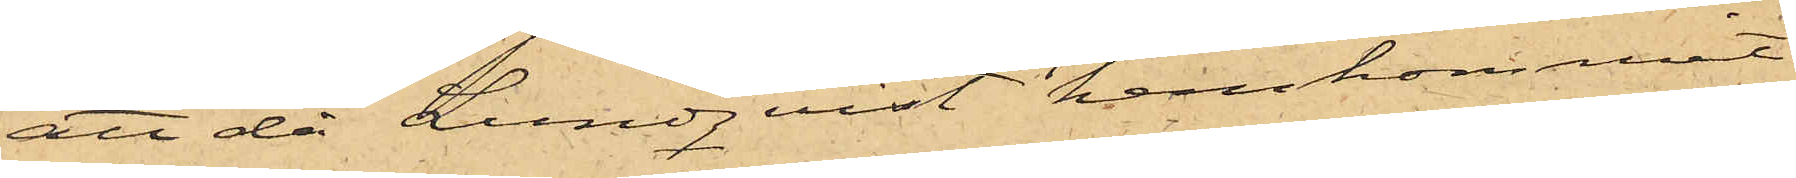att då Lundqvist hemkommit
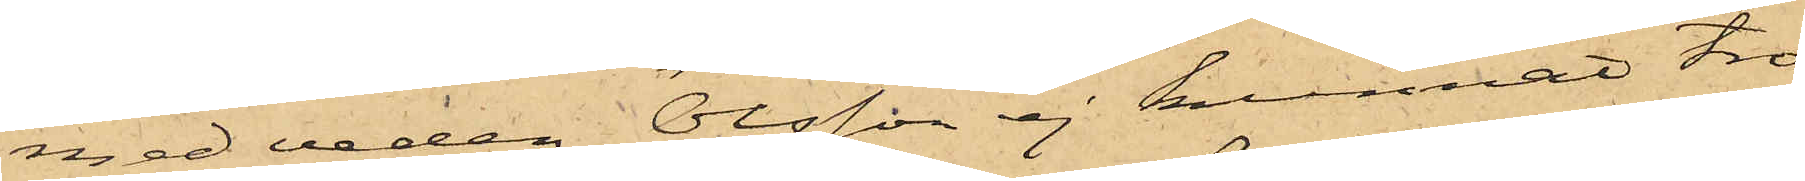med veden Olsson ej kunnat tro
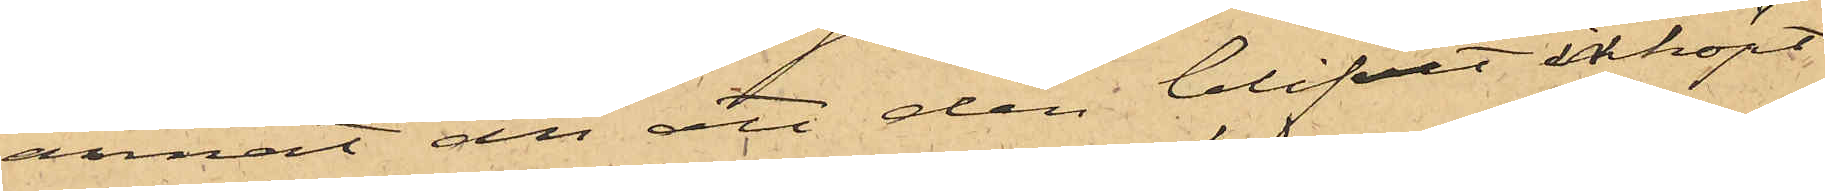annat än att den blifvit inköpt
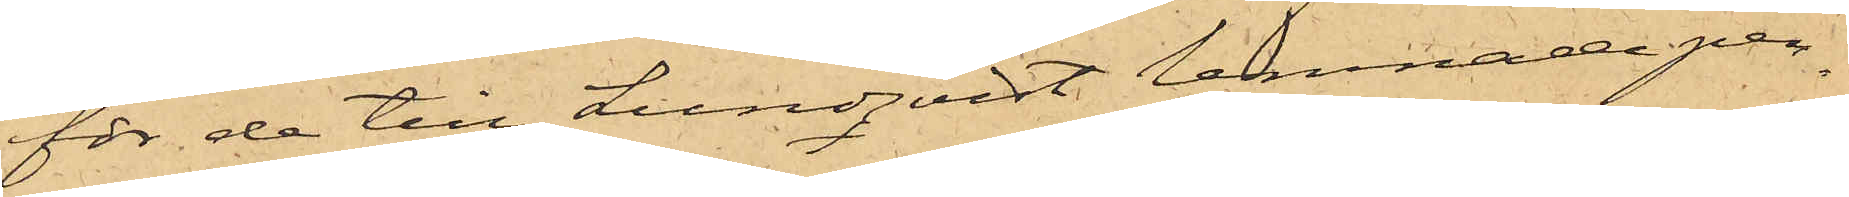för de till Lundqvist lemnade pen¬
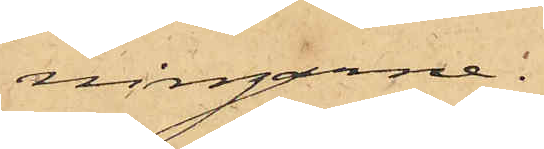ningarne.
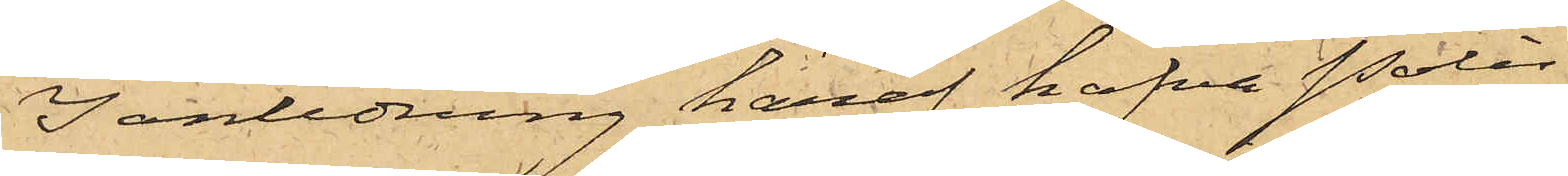I anledning häraf hafva Polis¬
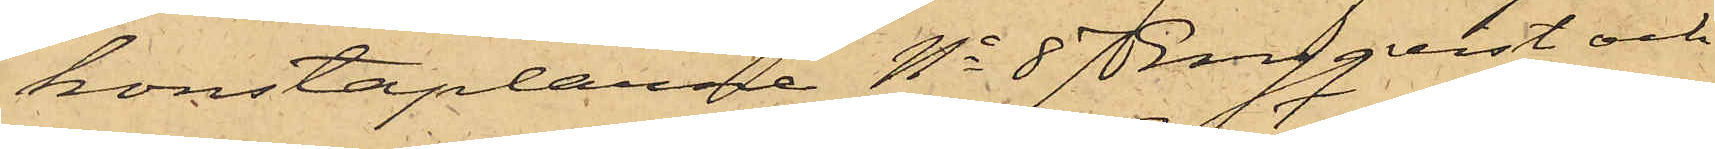konstaplarne No 87 Engqvist och
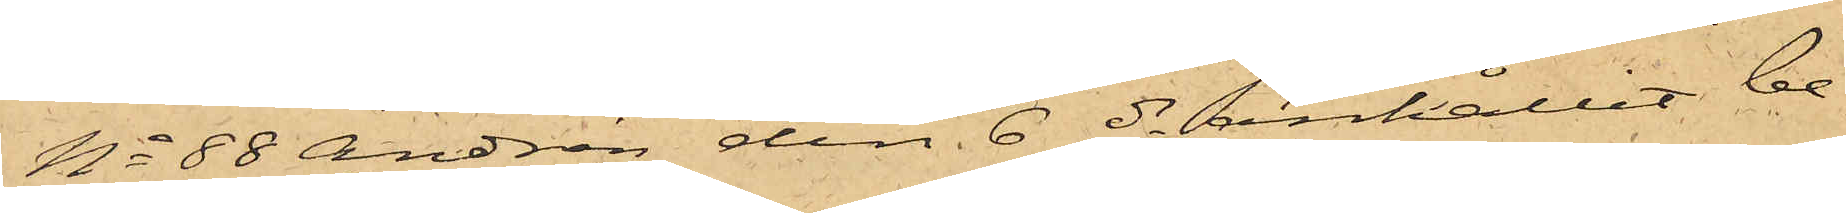No 88 Andrén den 6 ds anhållit be¬
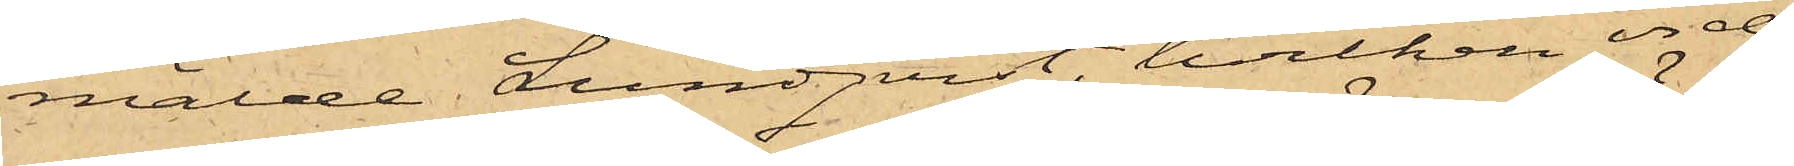mälde Lundqvist, hvilken vid
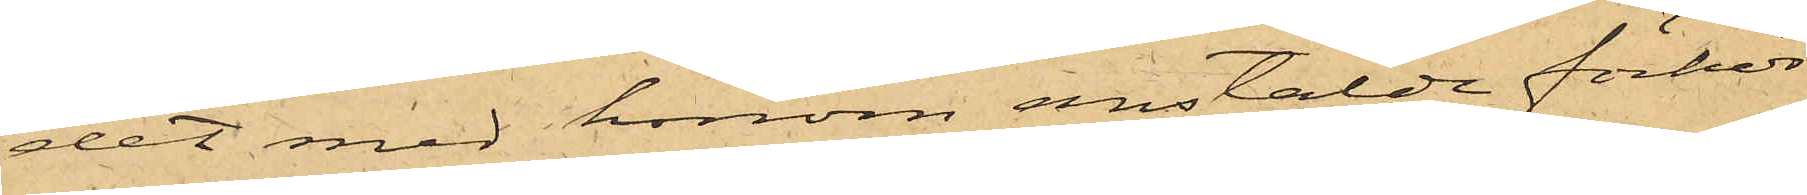det med honom anstälde förhör
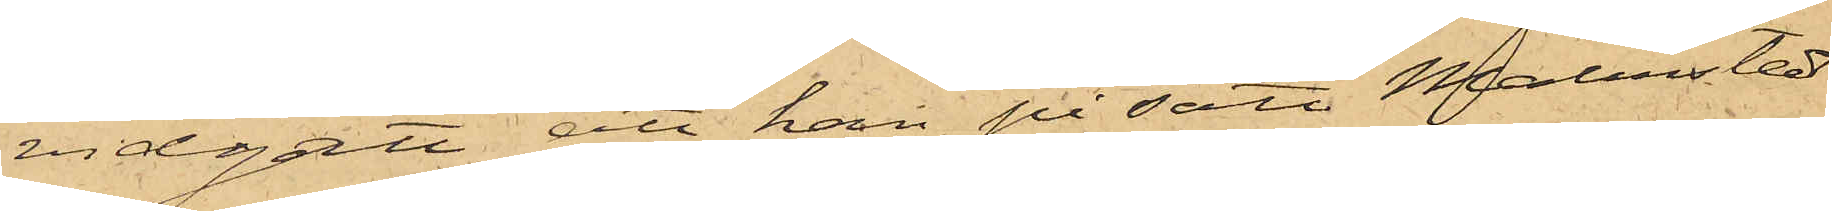vidgått, att han på sätt Malmstedt
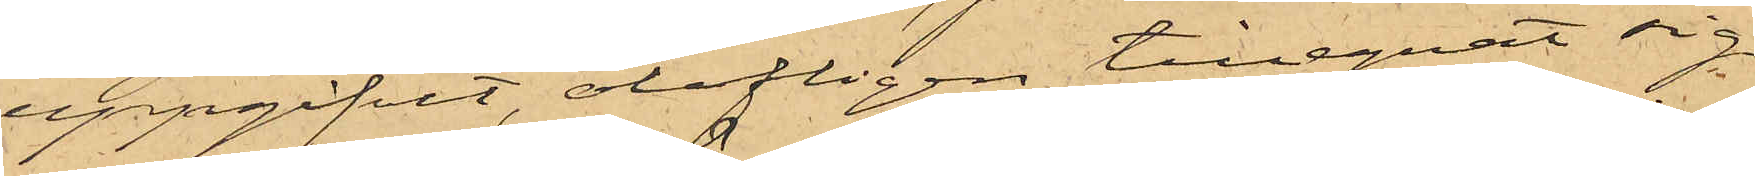uppgifvit, olofligen tillegnat sig
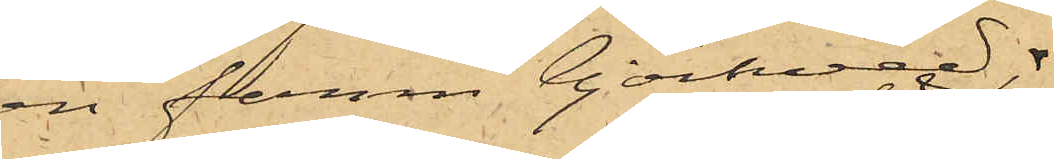en famn björkved,
